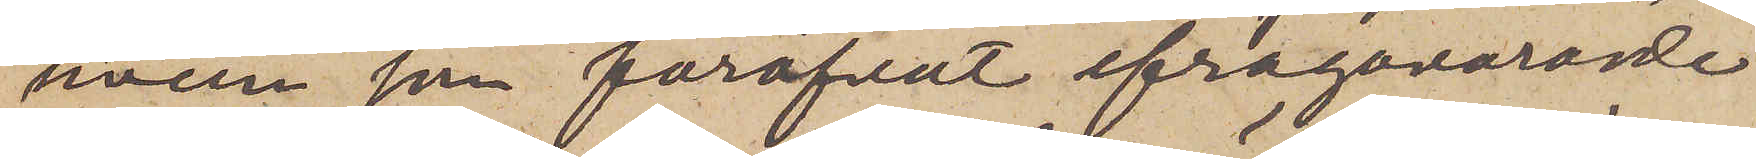hvem som föröfvat ifrågavarande
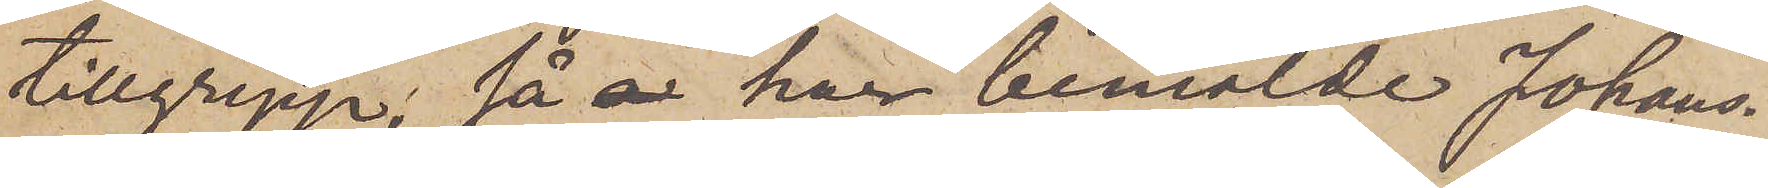tillgrepp, så har bemälde Johans¬
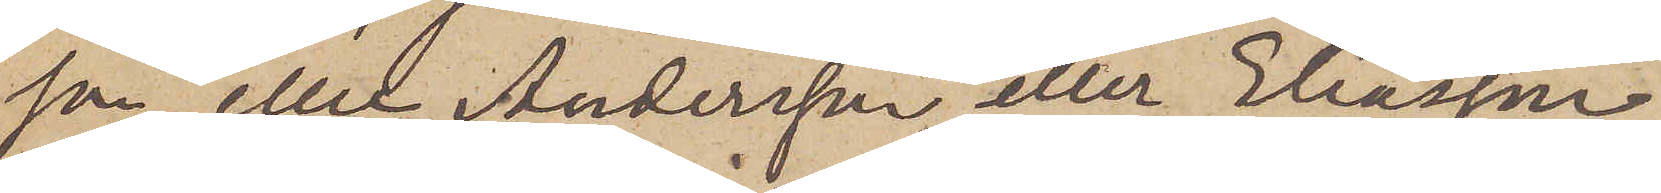son eller Andersson eller Eliasson
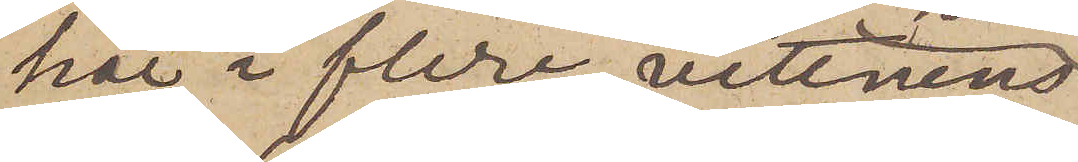här i flera vittnens
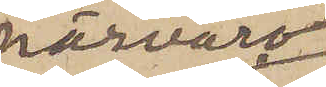närvaro
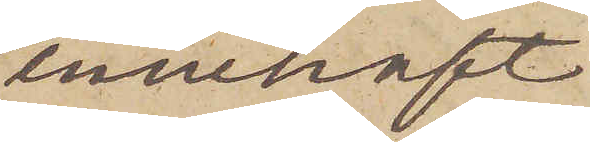innehaft
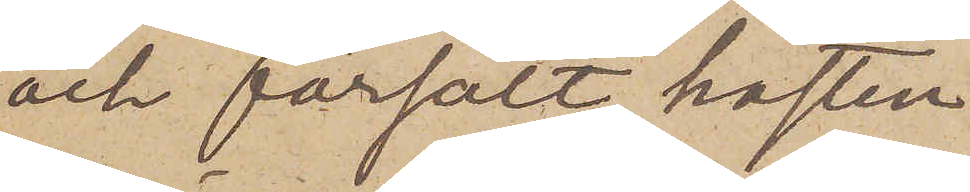och försålt hästen, ehu¬
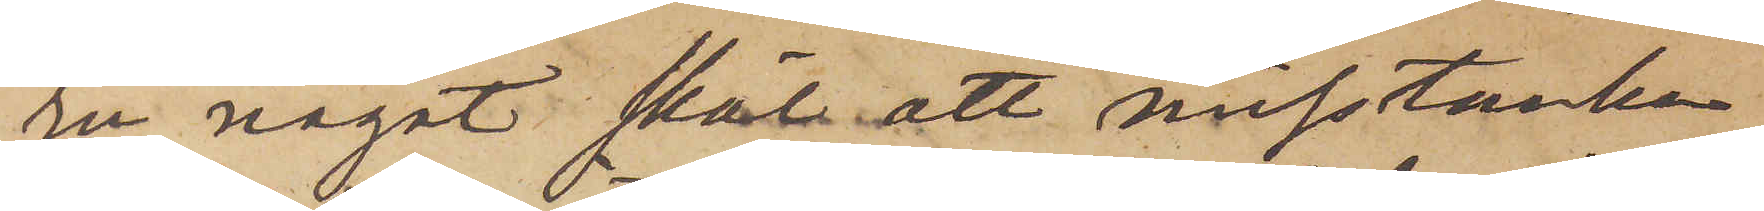ru något skäl att misstänka
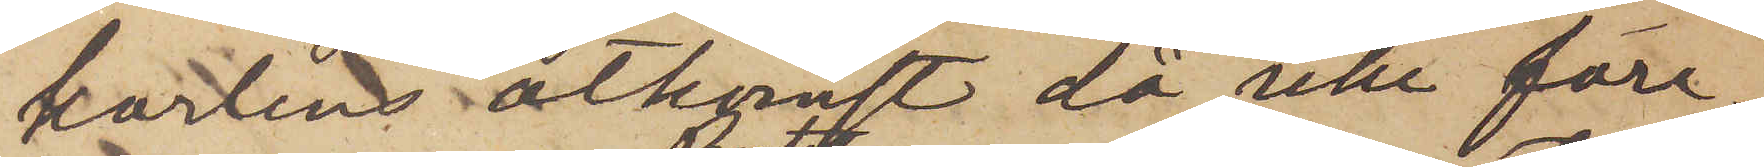karlens åtkomst då icke före¬
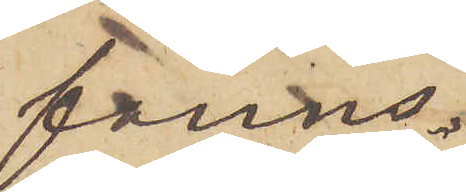fanns.
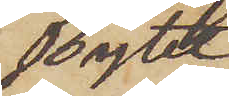Bytet
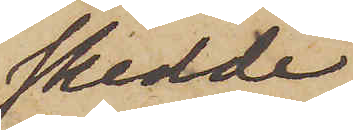skedde
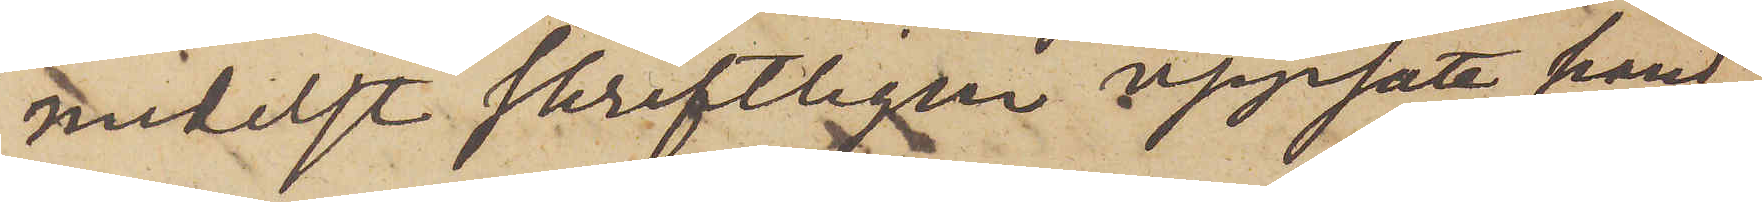medelst skriftligen uppsatt hand¬
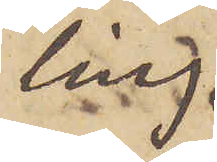ling.
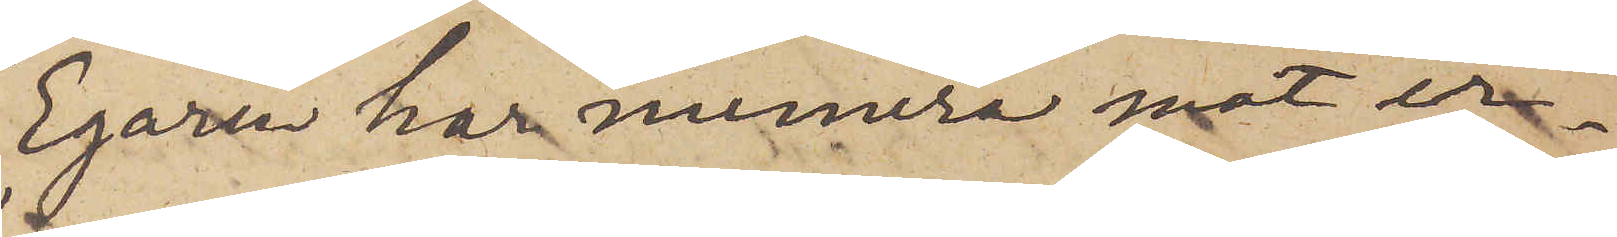Egaren har numera mot er¬
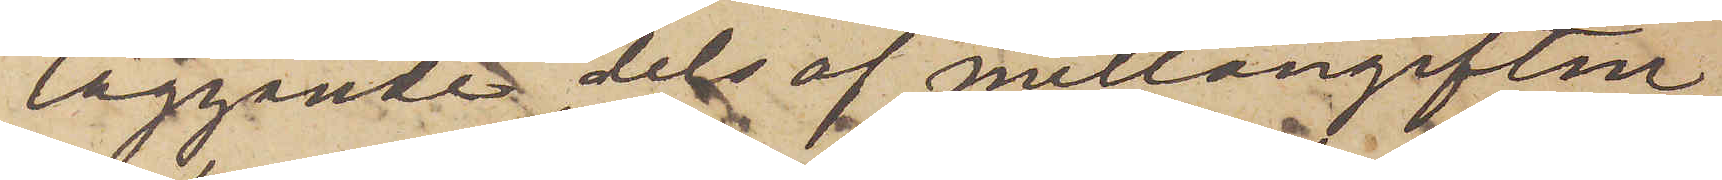läggande dels af mellangiften
